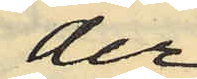der
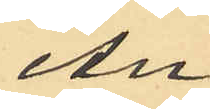An¬
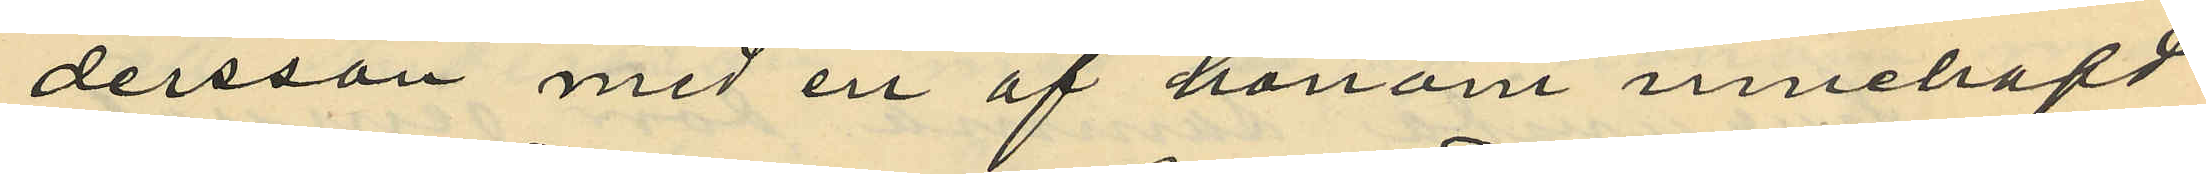dersson med en af honom innehafd
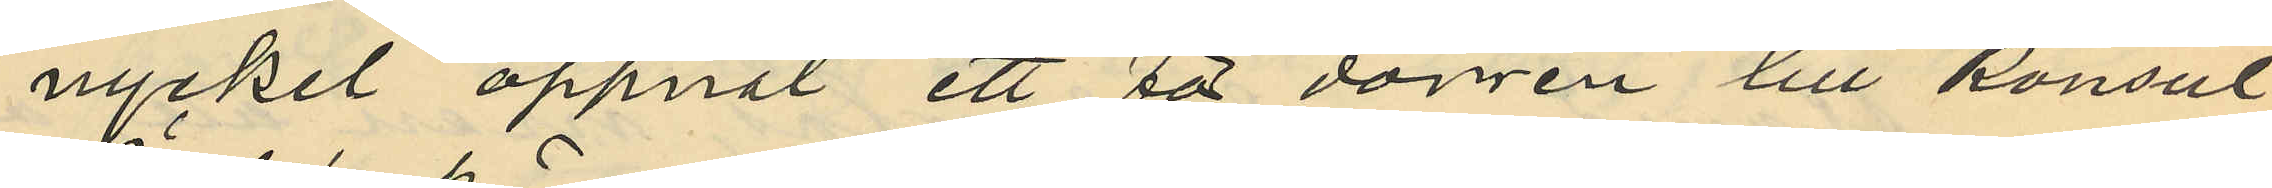nyckel öppnat ett för dörrren till konsul
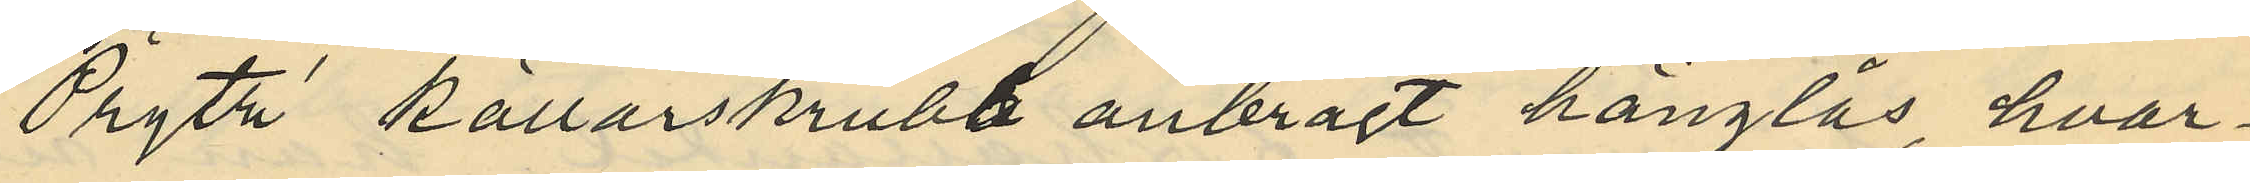Prytz källarskrubb anbragt hänglås, hvar¬
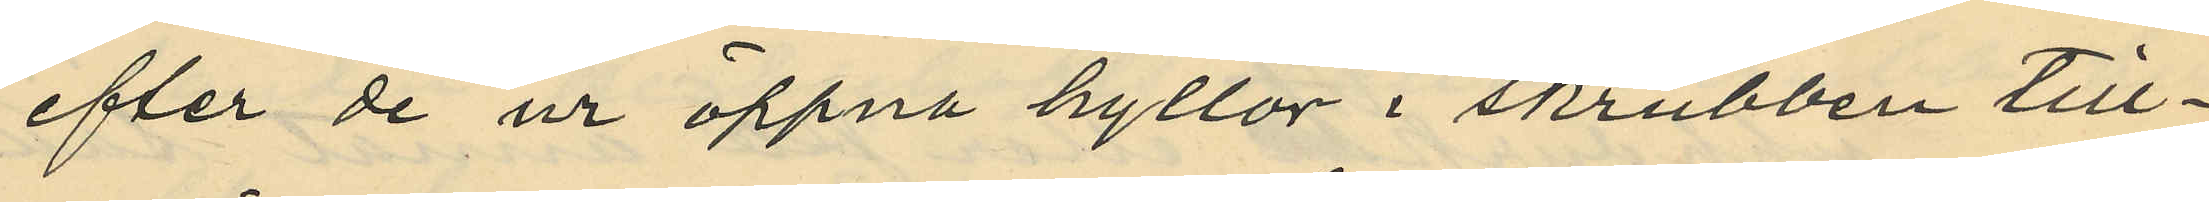efter de ur öppna hyllor i skrubben till¬
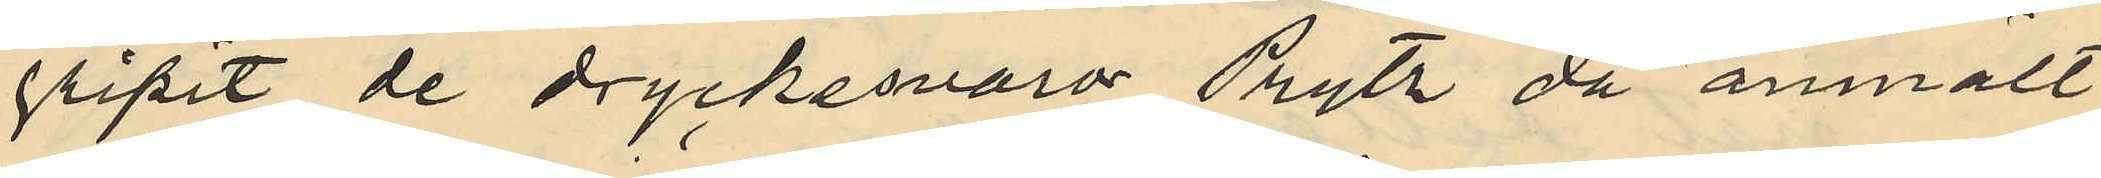gripit de dryckesvaror Prytz då anmält
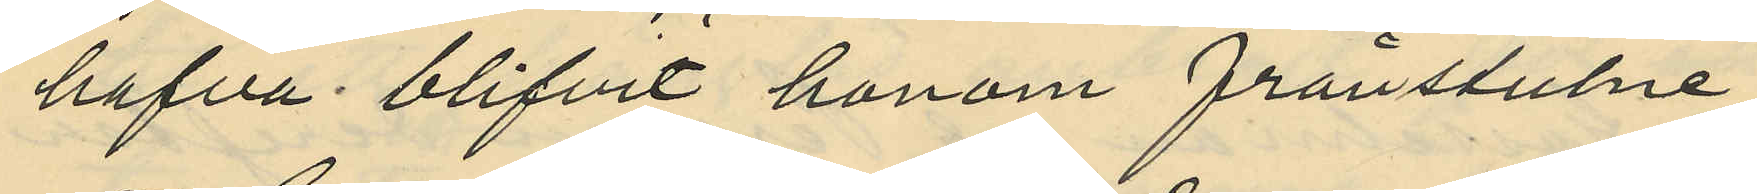hafva blifvit honom frånstulne
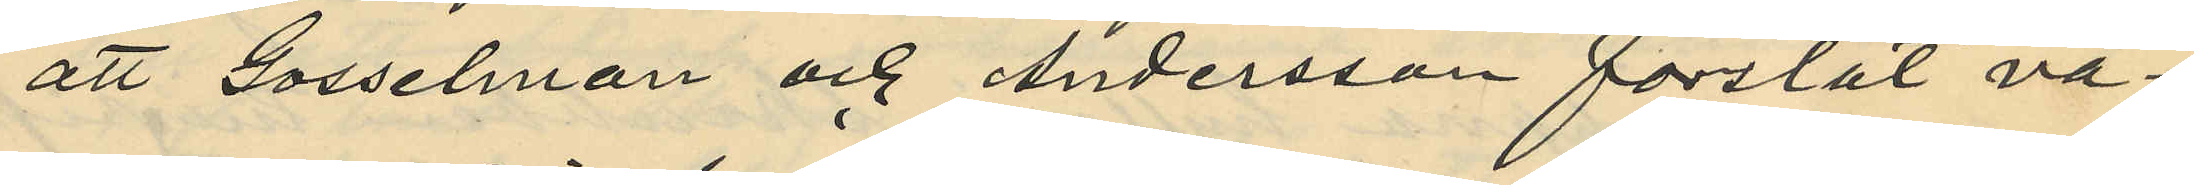att Gosselman och Andersson forslat va¬
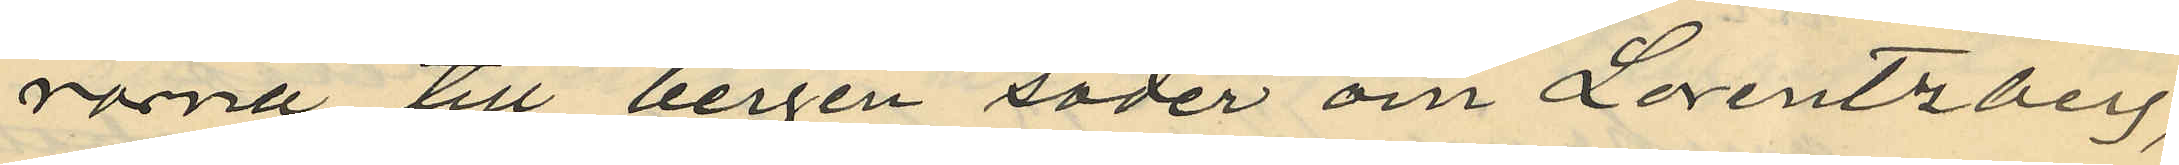rorna till bergen söder om Lorentzberg,
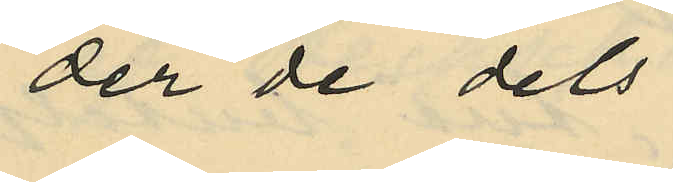der de dels
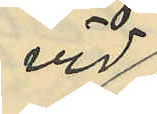vid
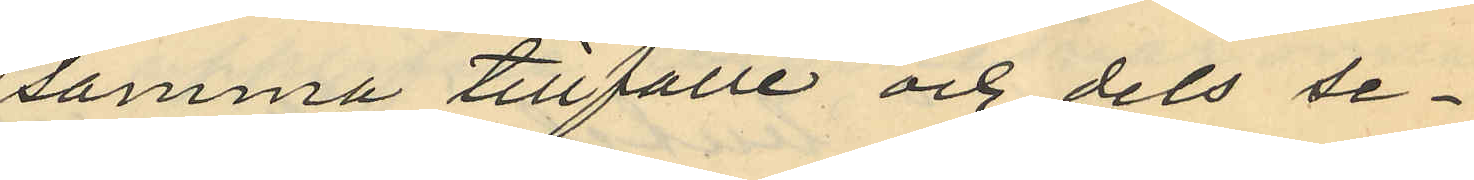samma tillfälle och dels se¬
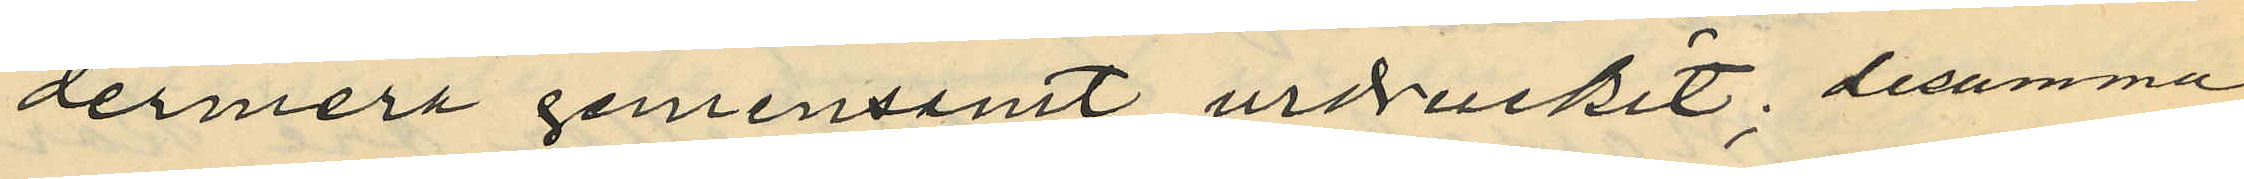dermera gemensamt urdruckit, desamma
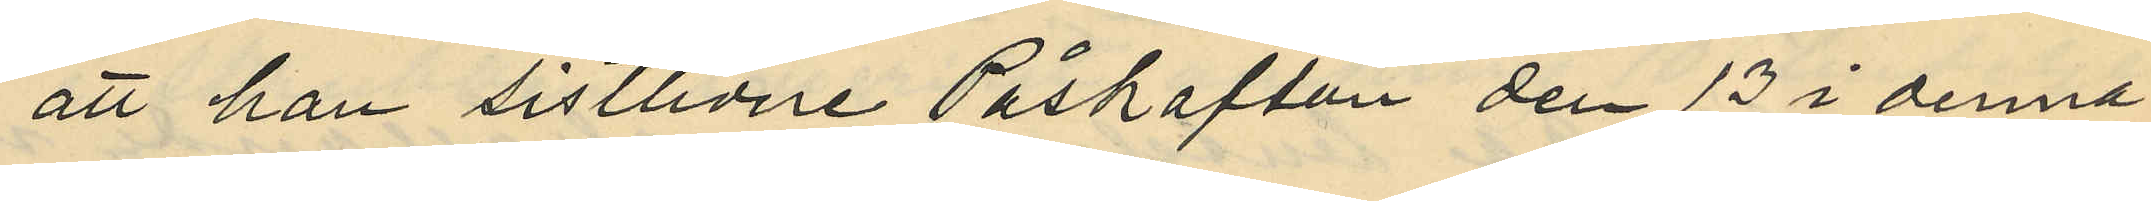att han sistlidne Påskafton den 13 i denna
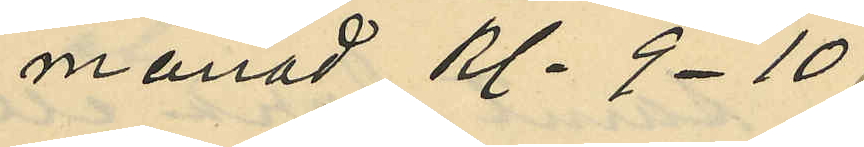månad Kl. 9-10.
